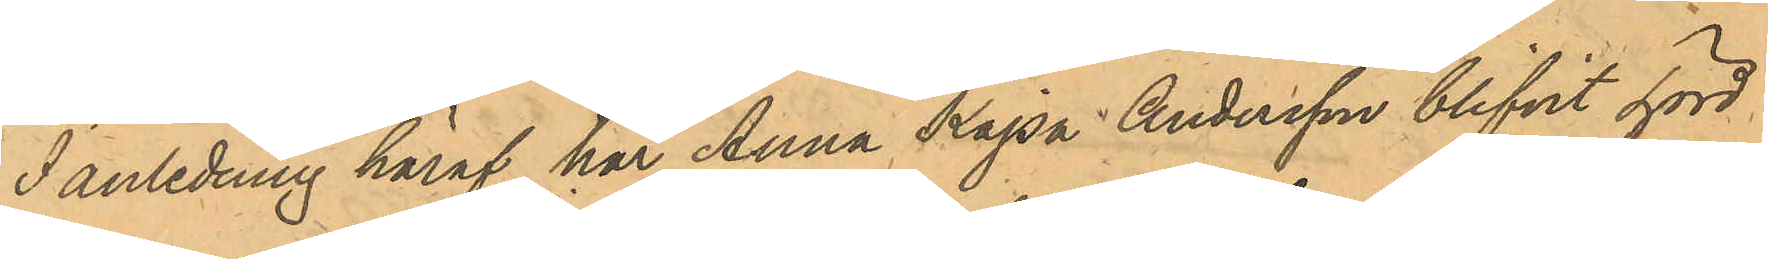I anledning häraf har Anna Kajsa Andersson blifvit hörd
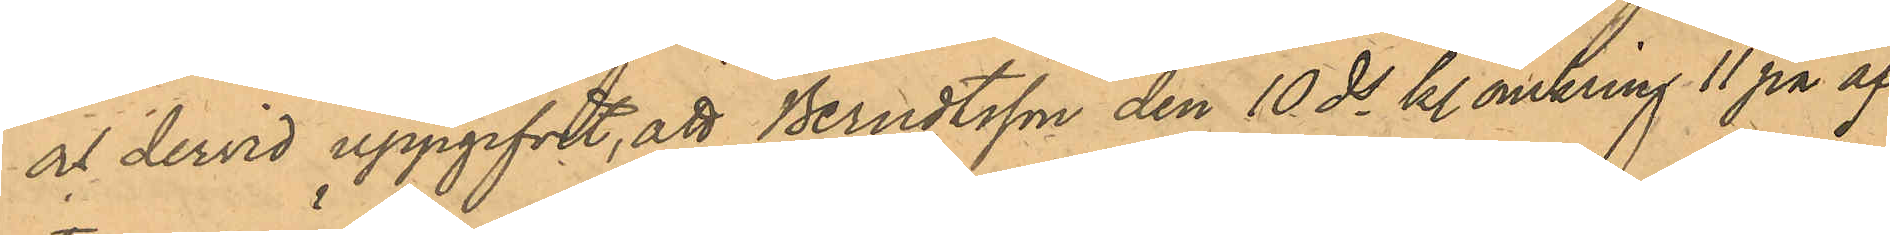och dervid uppgifvit, att Berndtsson den 10 ds kl omkring 11 på af¬
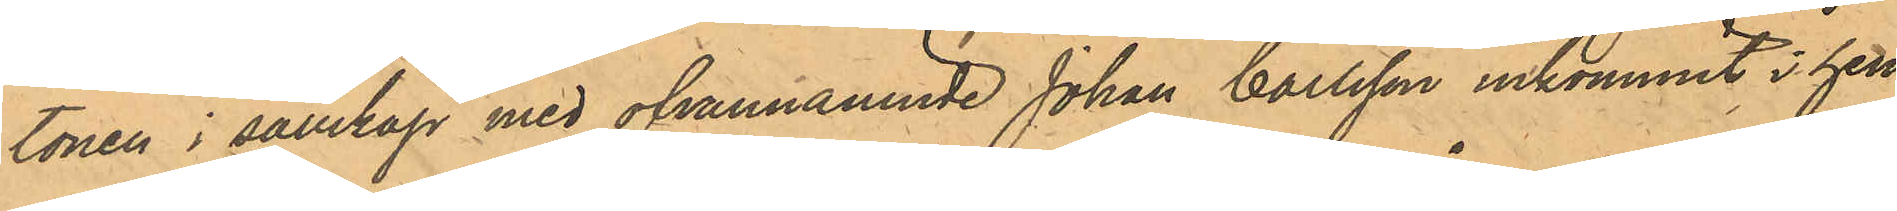tonen i sällskap med ofvannämnde Johan Carlsson inkommit i hen¬
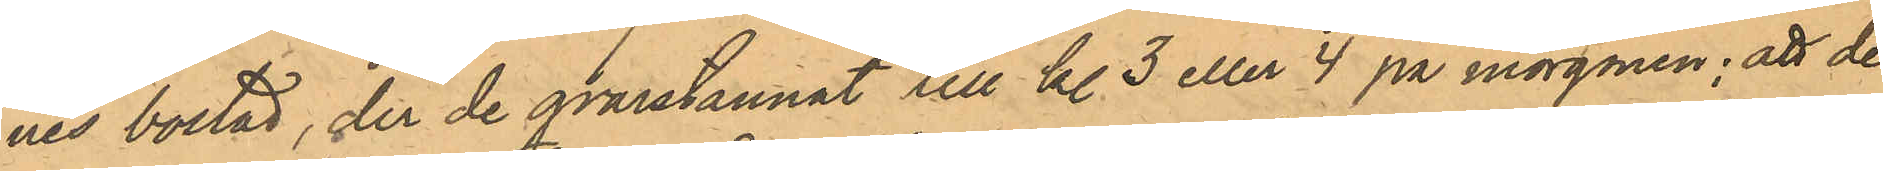nes bostad, der de qvarstannat till kl. 3 eller 4 på morgonen; att de
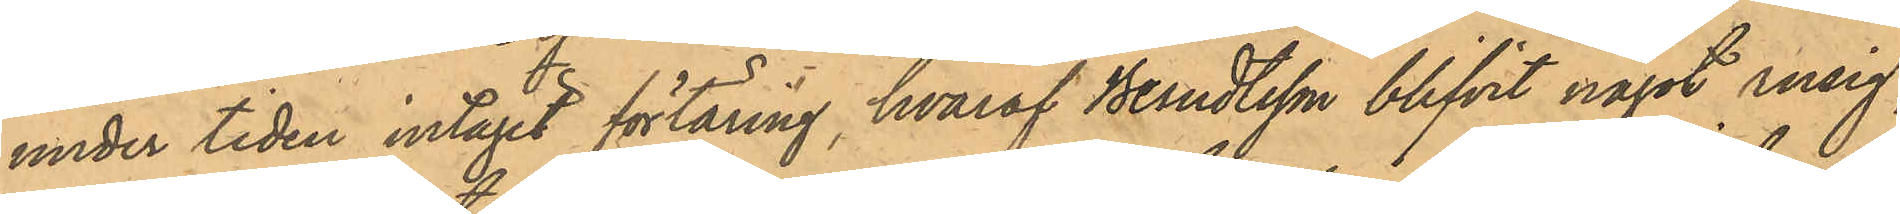under tiden intagit förtäring, hvaraf Berndtsson blifvit något rusig,
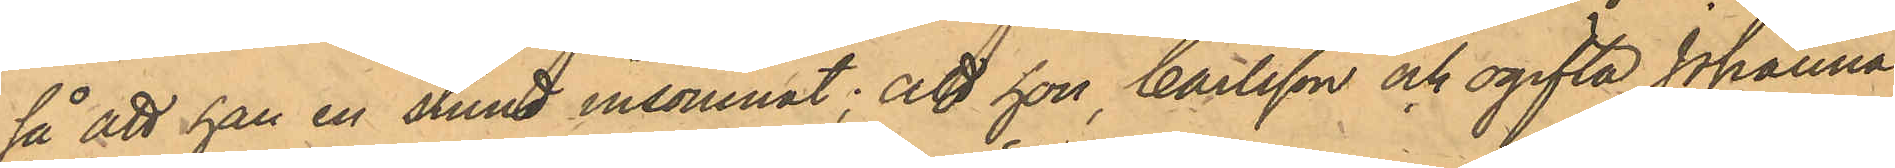så att han en stund insomnat; att hon, Carlsson och ogifta Johanna
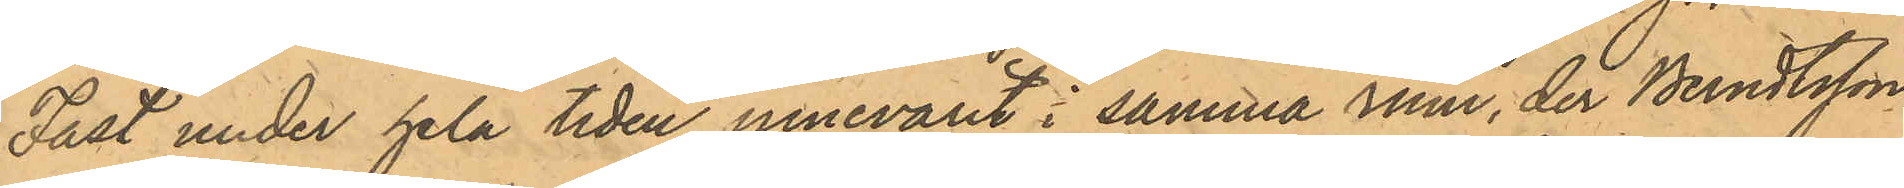Fast under hela tiden innevarit i samma rum, der Berndtsson
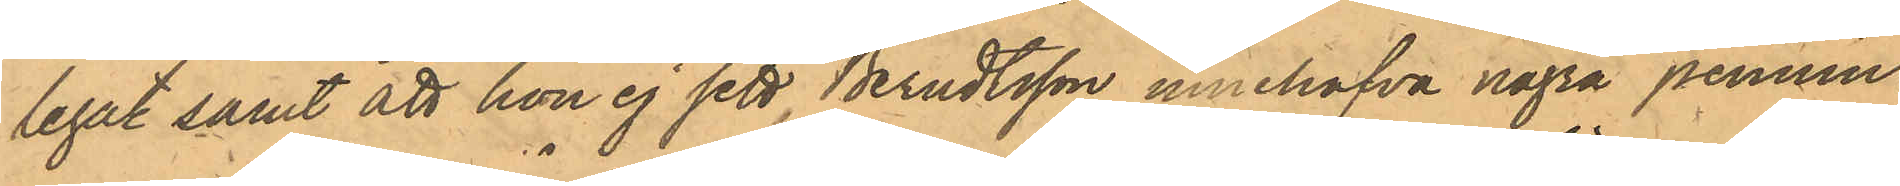legat samt att hon ej sett Berndtsson innehafva några pennin¬
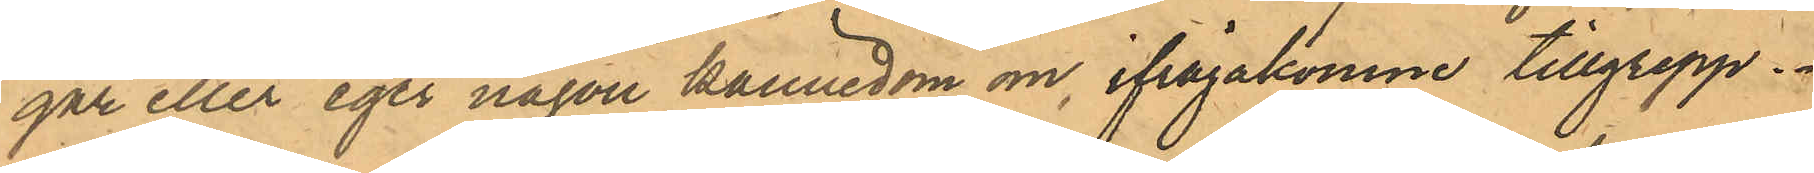gar eller eger någon kännedom om ifrågakomne tillgrepp.
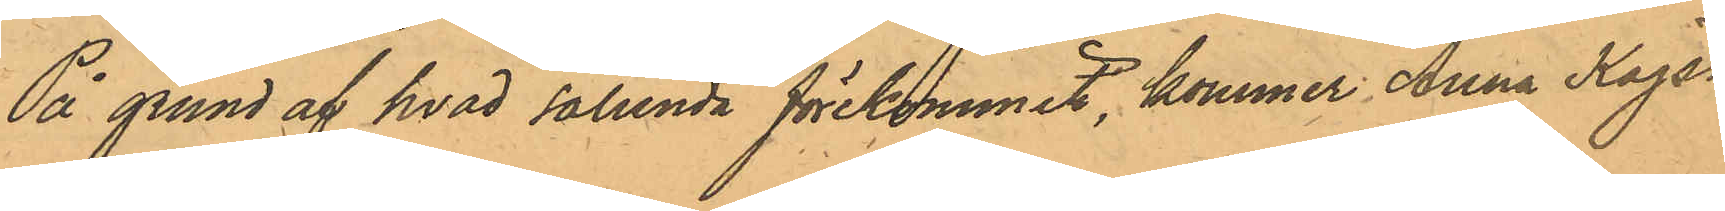På grund af hvad sålunda förekommit, kommer Anna Kajsa
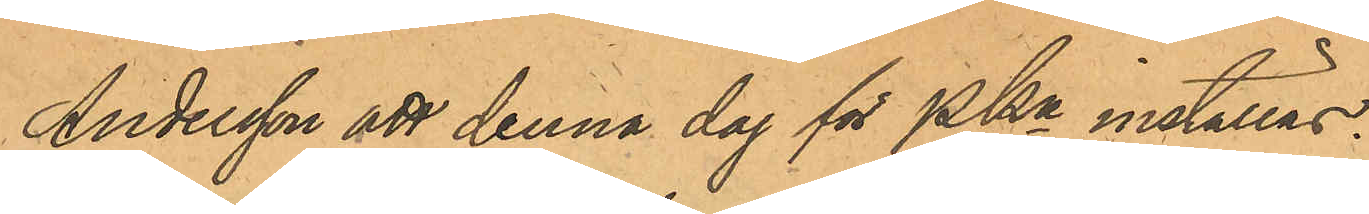Andersson att denna dag för PKn inställas.
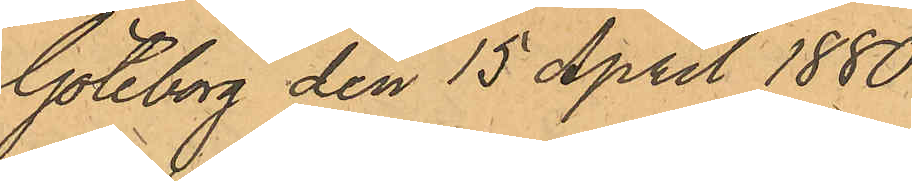Göteborg den 15 April 1880.
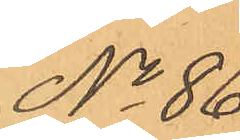No 86.
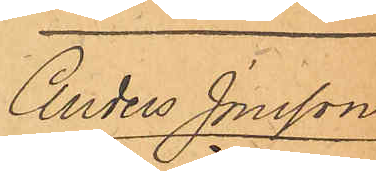Anders Jonsson
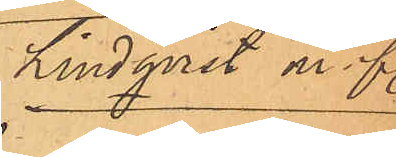Lindqvist m fl.
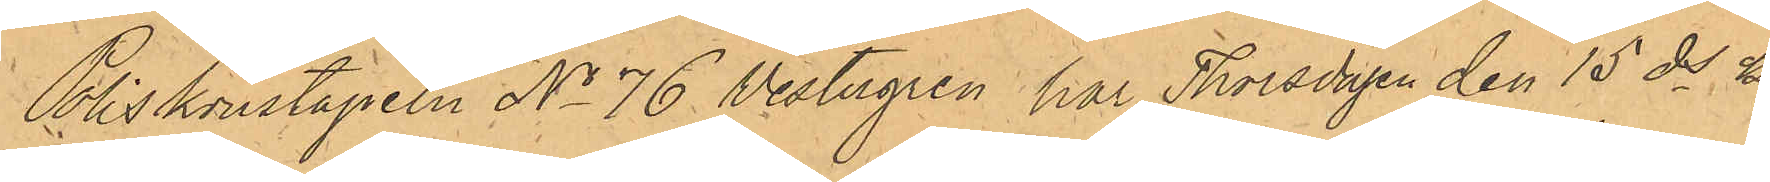Poliskonstapeln No 76 Vestergren har Thorsdagen den 15 ds kl.
